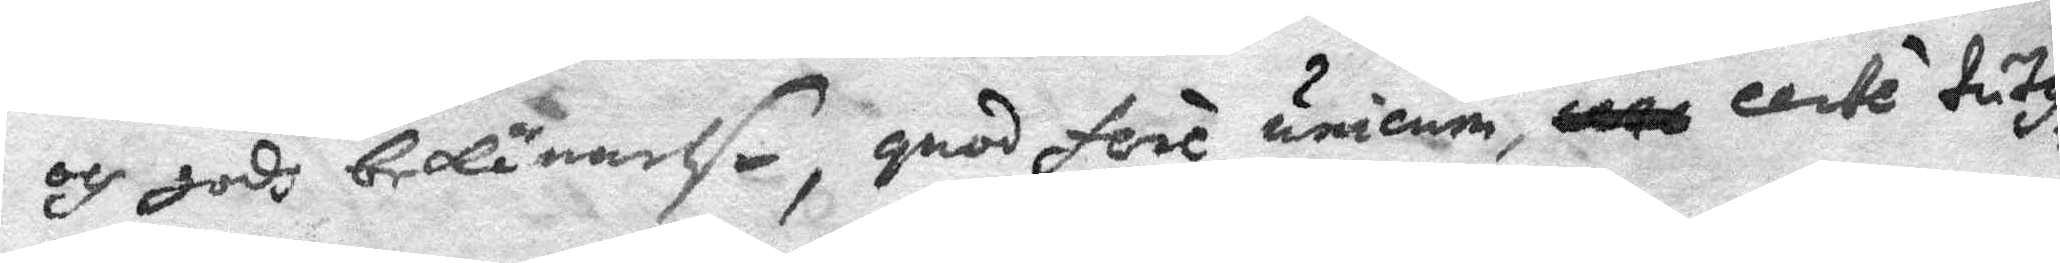och godh bekännelße, quad fere unicum, ceté tutis,
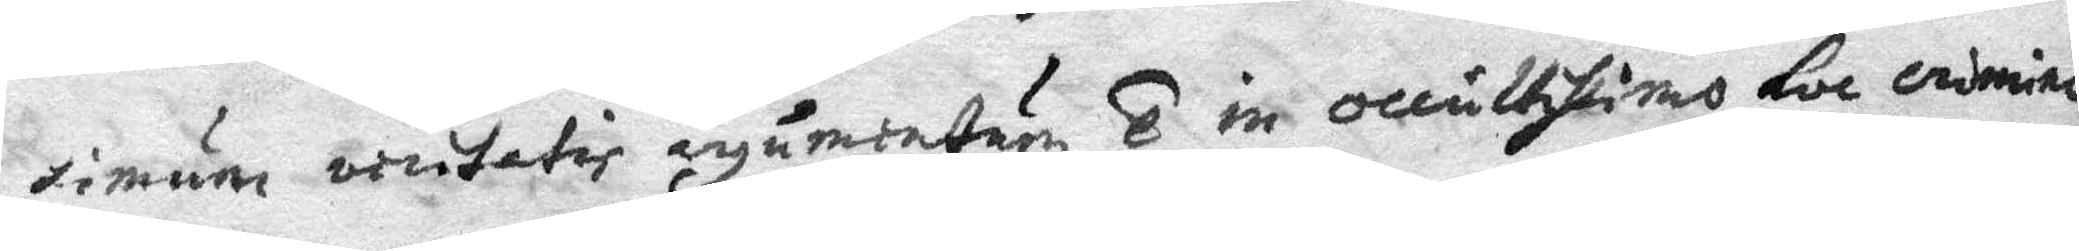timum vintatid ryumientum T in occultisimo loe crimine,
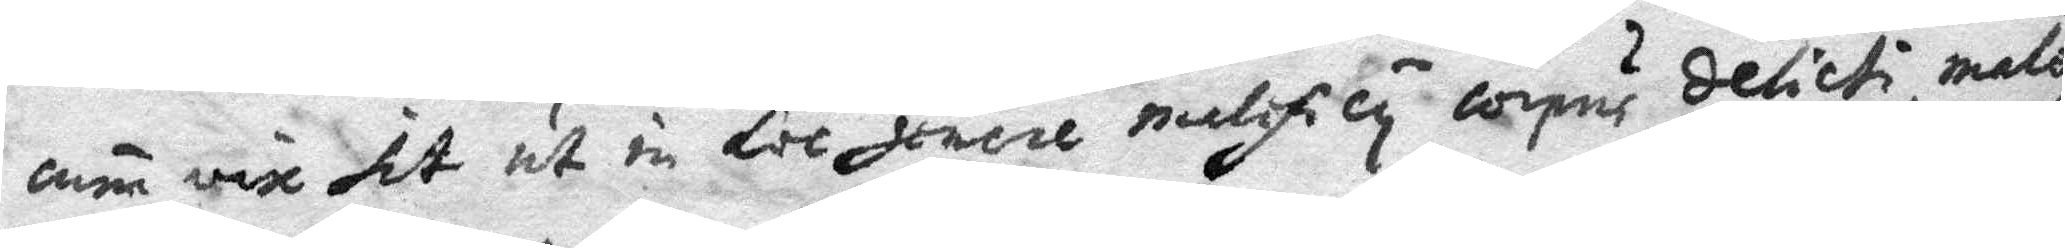cum vise sit ut in loe joncre nulifily lopus delicti male
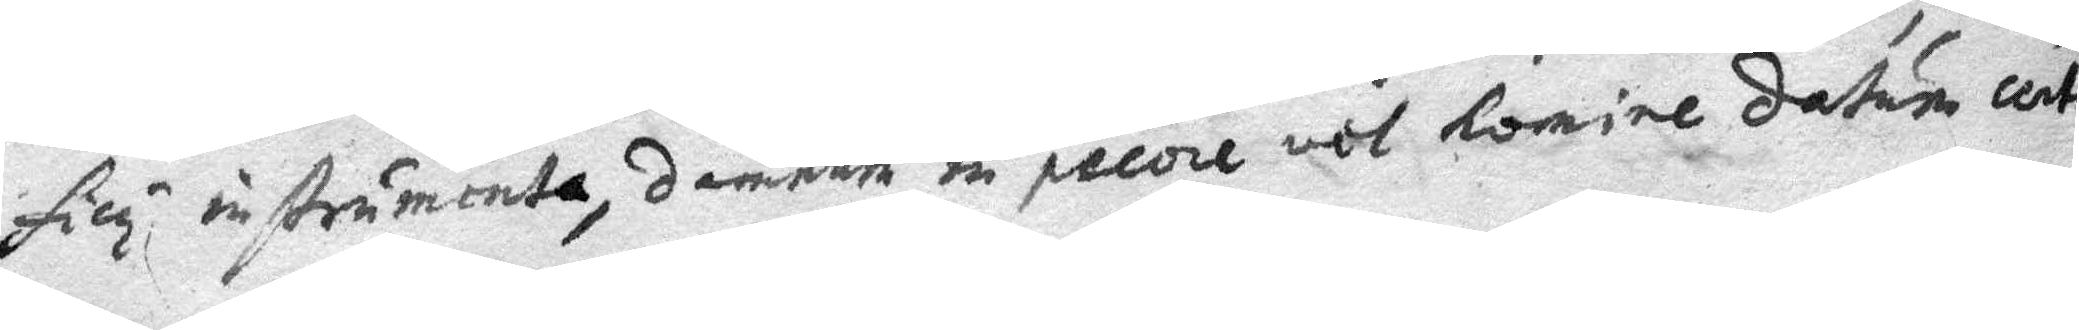ficy instrumenta, damrure in pecore vol homine datum cento
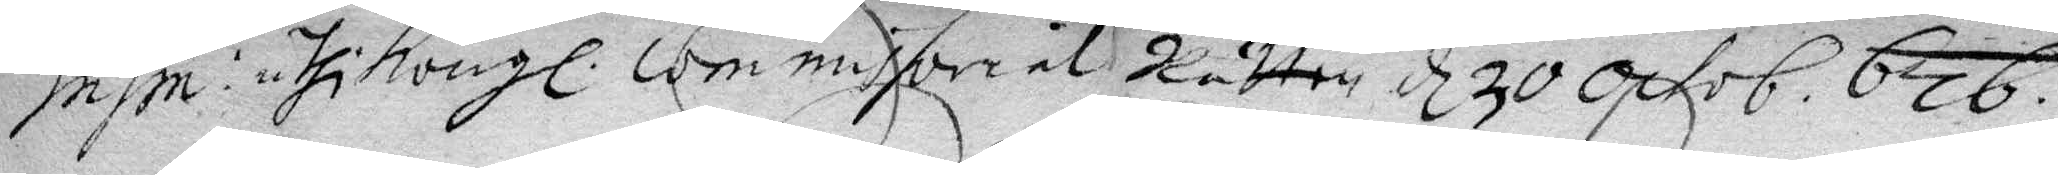insin: uthi Kongl. commissorial Rätten d 30 Octob. 676.
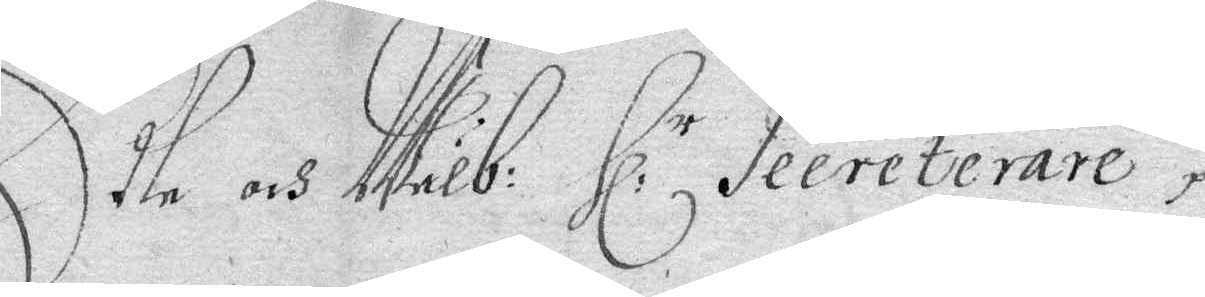Edle och Wälb: Hl: r Secreterare
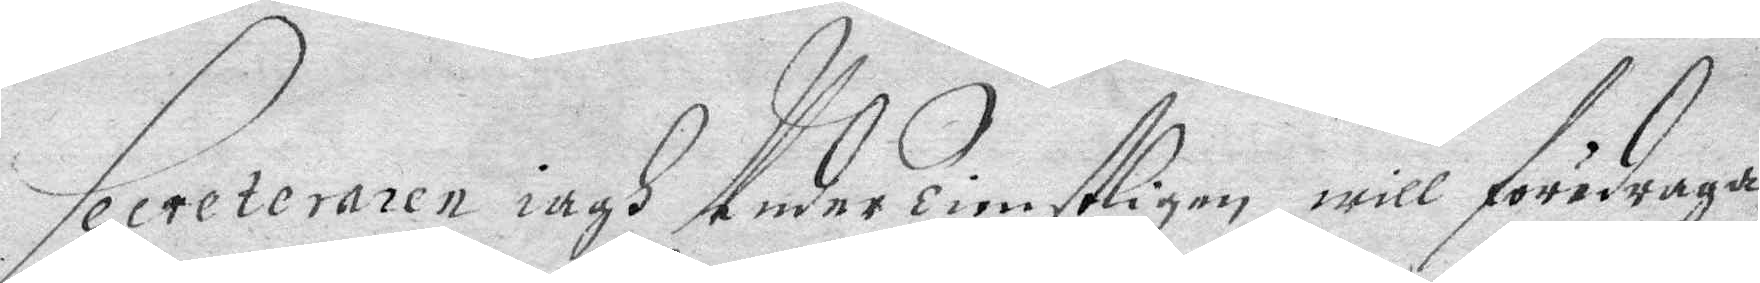Secreteraren iagh Beder Tienstligen will föredraga
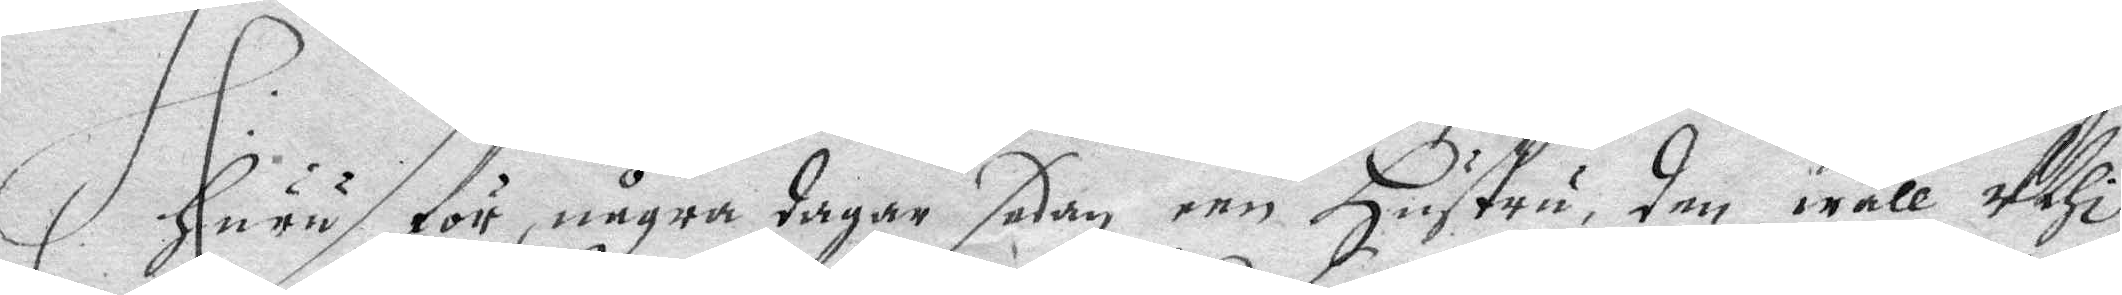Huru för några dagar sedan een Hustru, den wäll Uthi
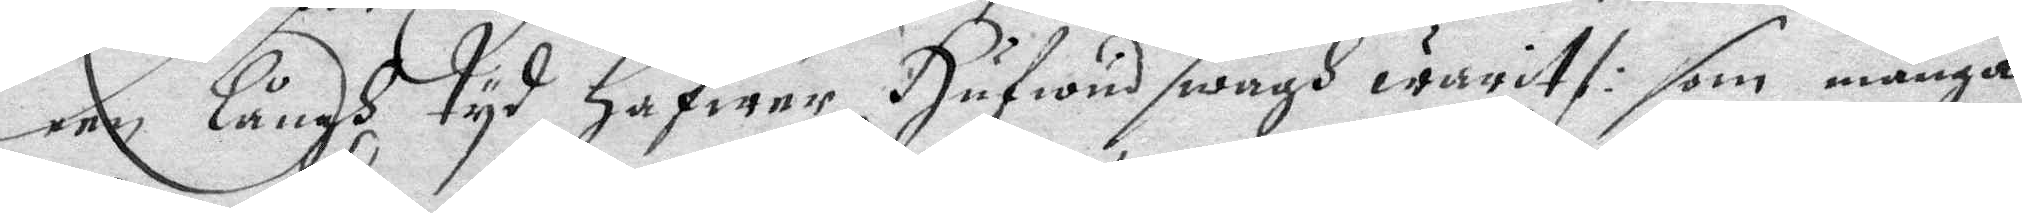een Långh tyd hafwer Hufwudswagh warit /: som många
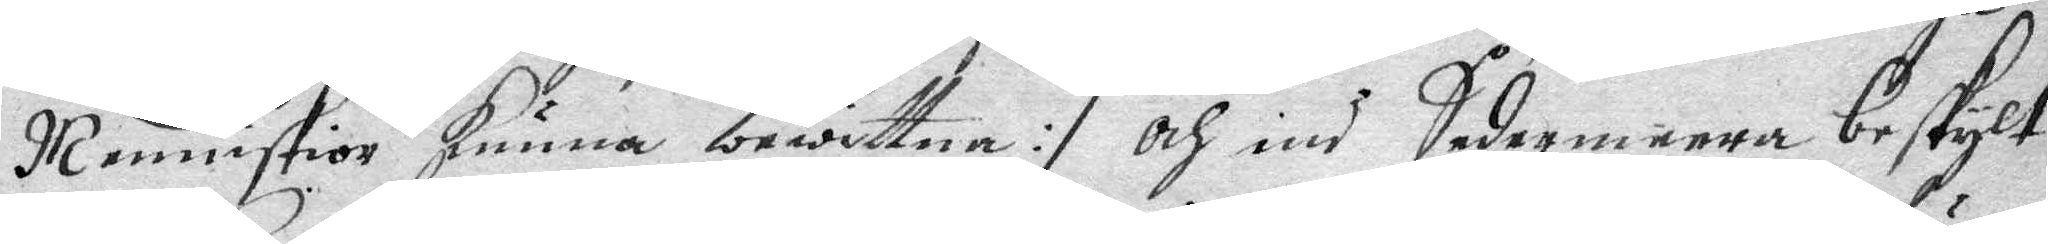Menniskior kunna bewittna :/ Och ind Sedermeera beskylt
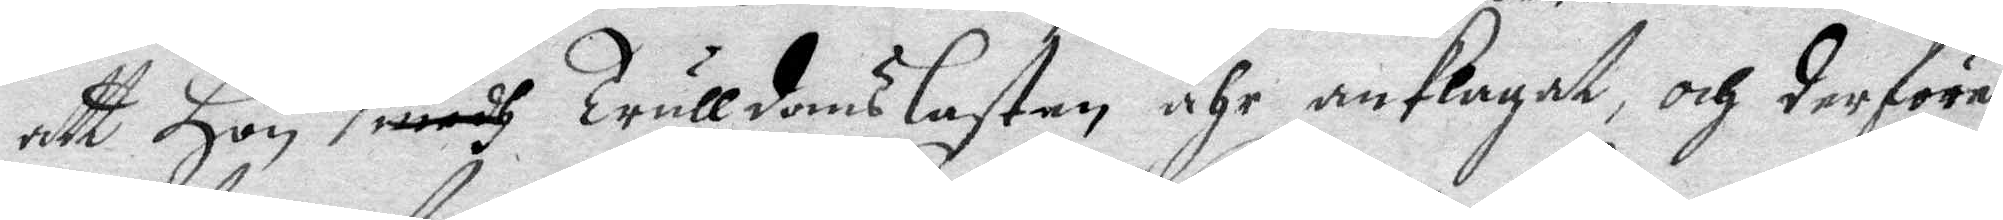att Hon för Trulldomslasten ähr anklagat, och derföre
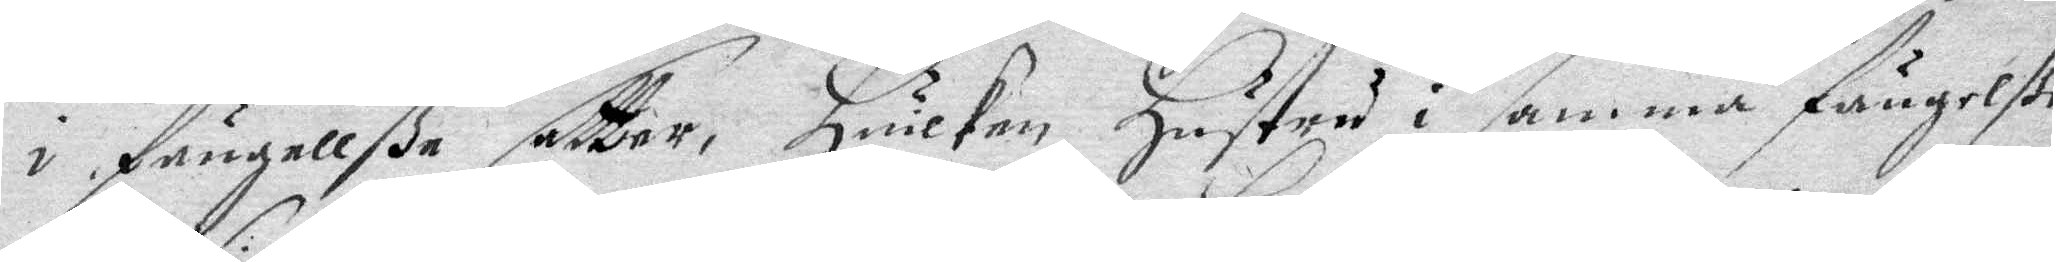i fängellße settier, Huilken Hustru i samma fängelße
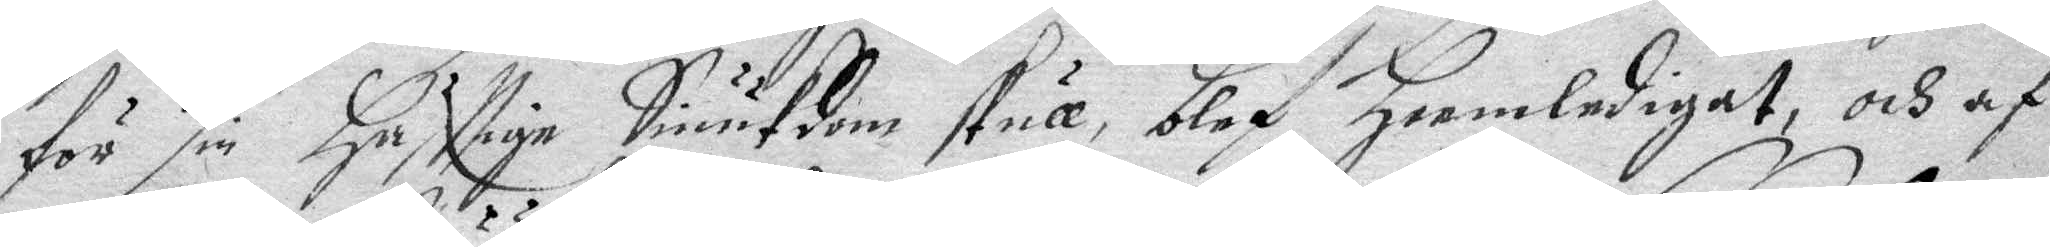för sin Häfftige Siukdom skull, blef Heemledigat, och af
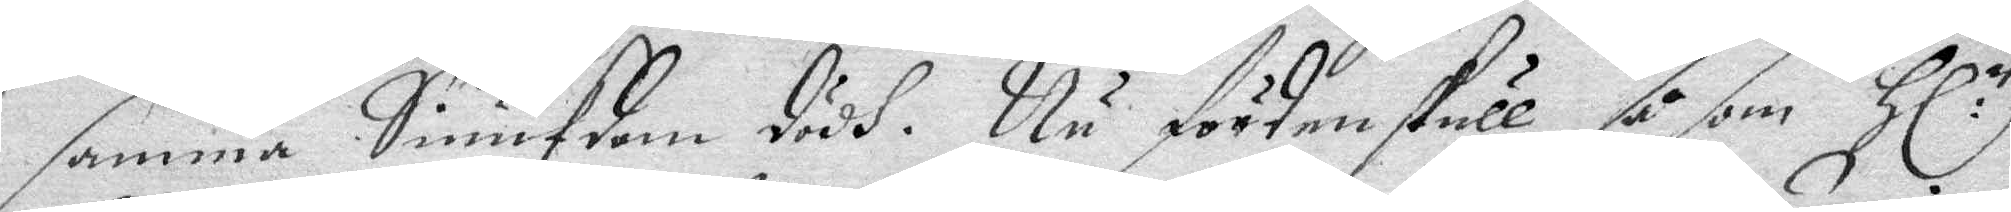samma Siukdom dödh. Nu förden skull så som Hl:r
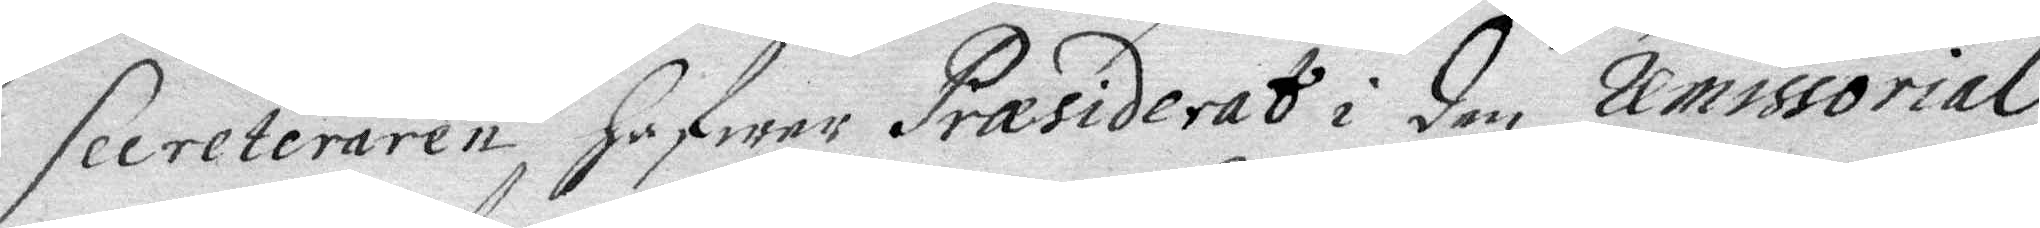Secreteraren Hafwer Præsiderat i den commissorial
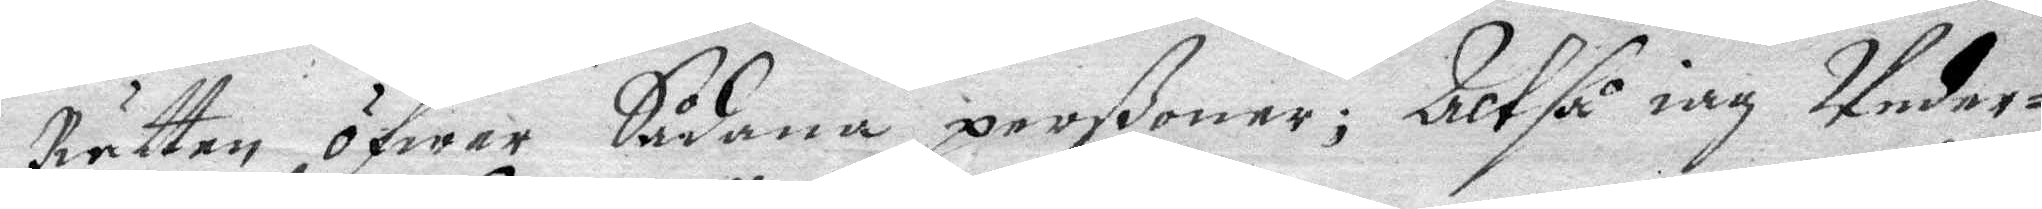Rätten öfwer Sådana perßoner; Altså iag Under¬
